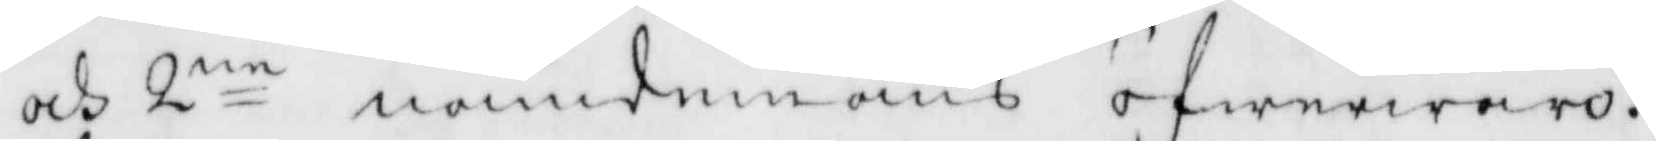och 2ne nämdmäns öfwerwaro.
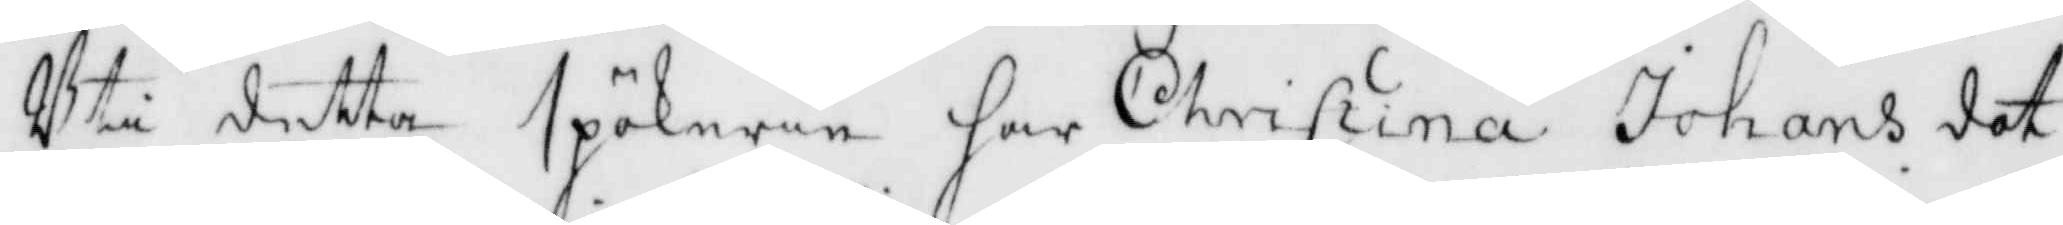Uti detta spökeri har Christina Johansdot¬
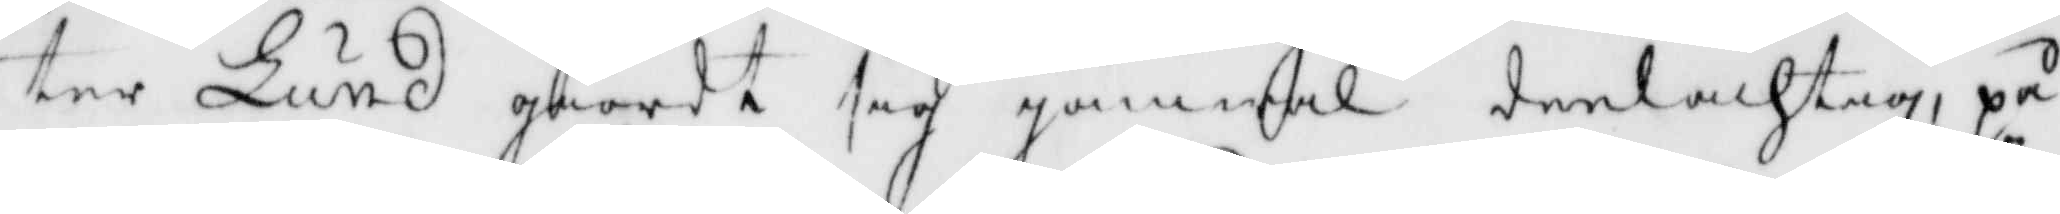ter Lund giordt sig jämwäl delachtig, på
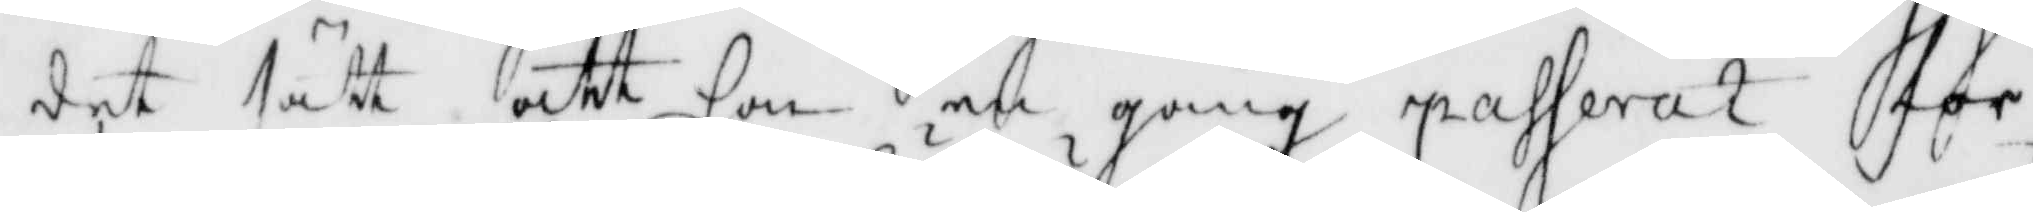det sätt att hon en gång passerat för
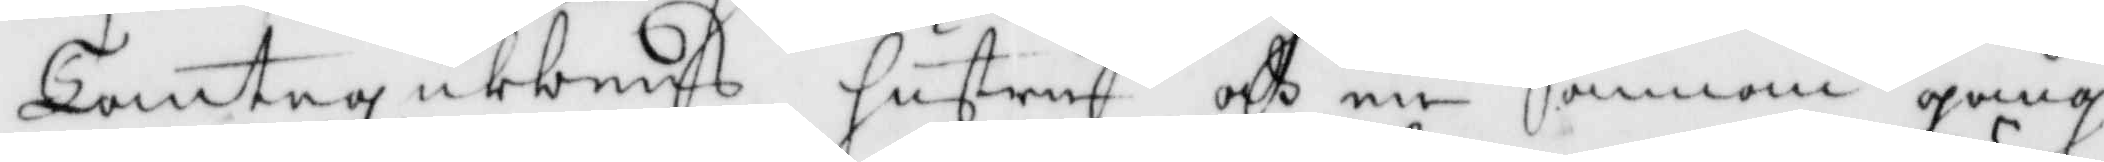Tomtegubbens hustru och en annan gång
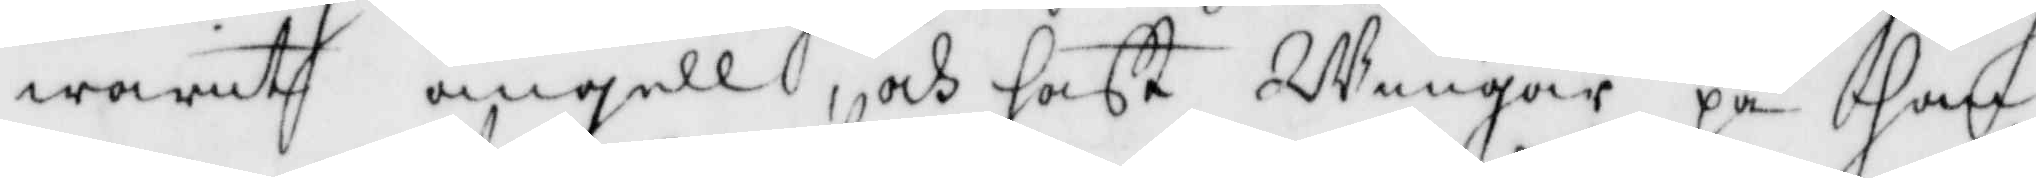warit ängell, osh hafft Wingar på hän¬
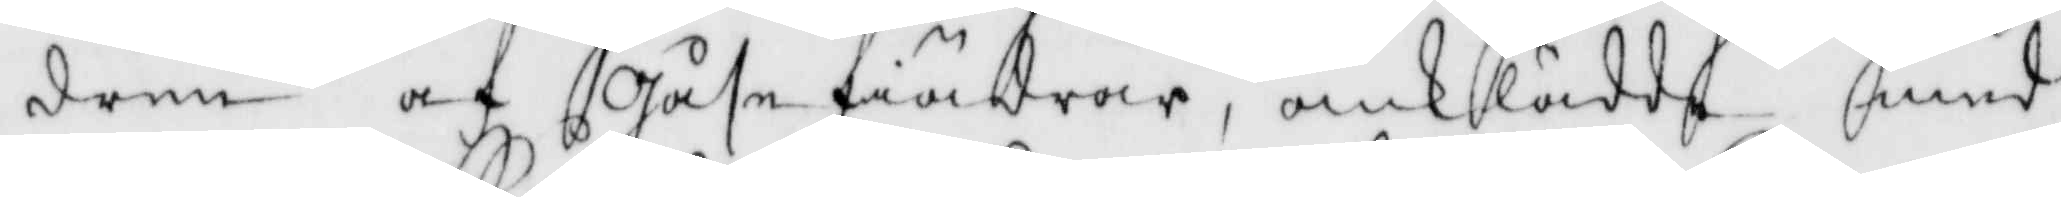denn af Gåse fiödrar, omklädde med
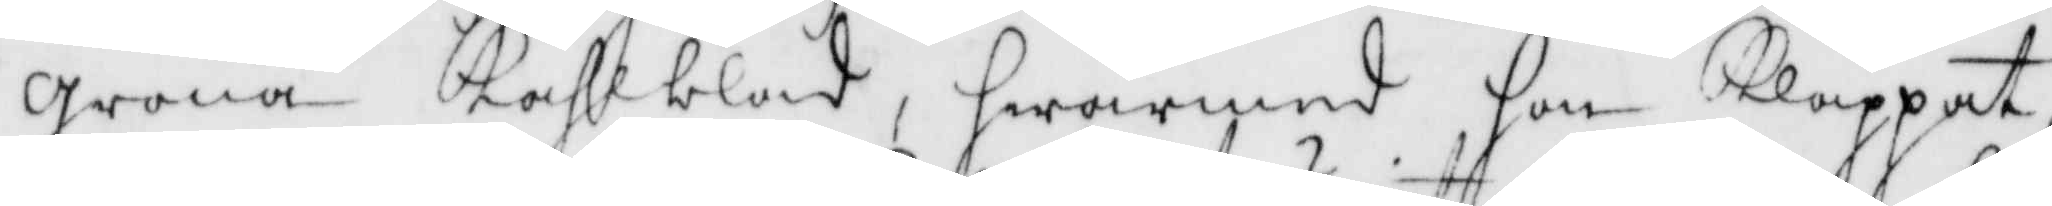Gröna Kåhlblad, hwarmed hon Klappat,
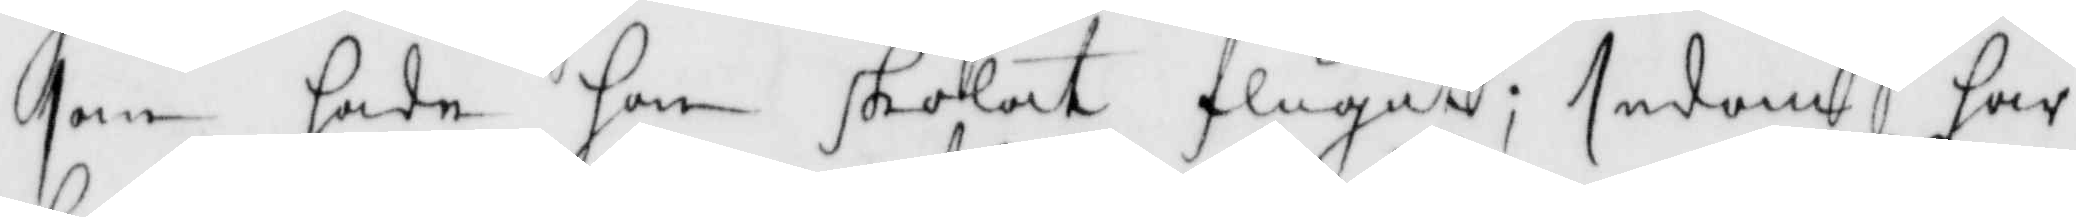som hade hon skolat flugit; sedan har
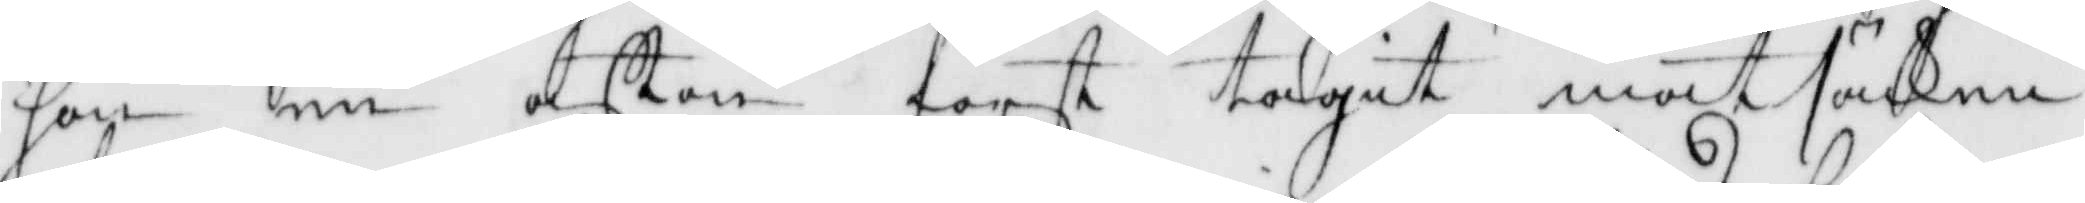hon en affton först tagit matsäcken
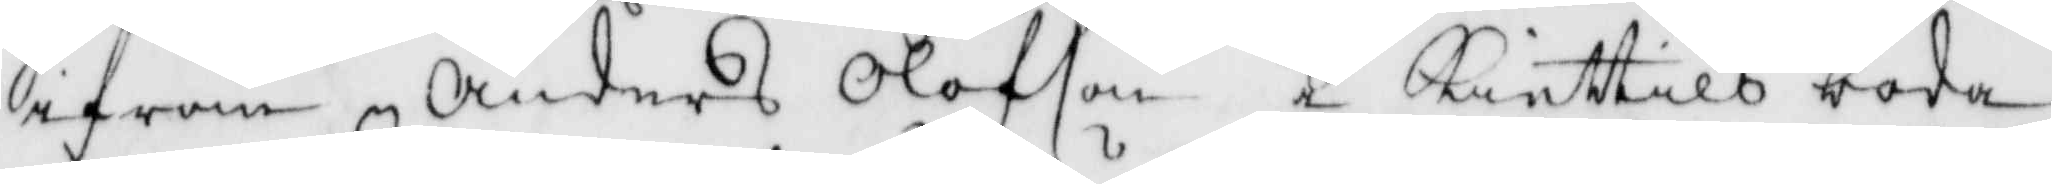ifrån Anders Olofson i Kiettils boda,
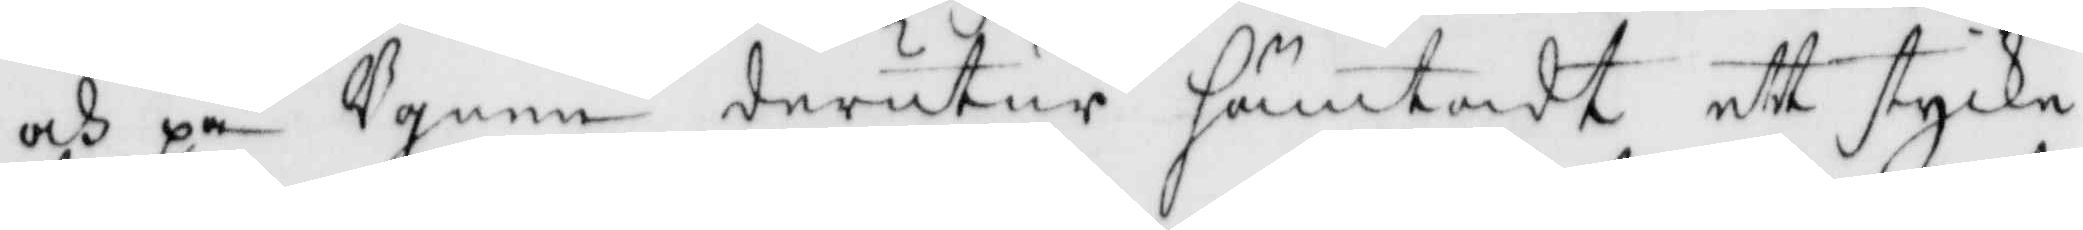och ppå Ugnen derutur hämtadt ett stycke
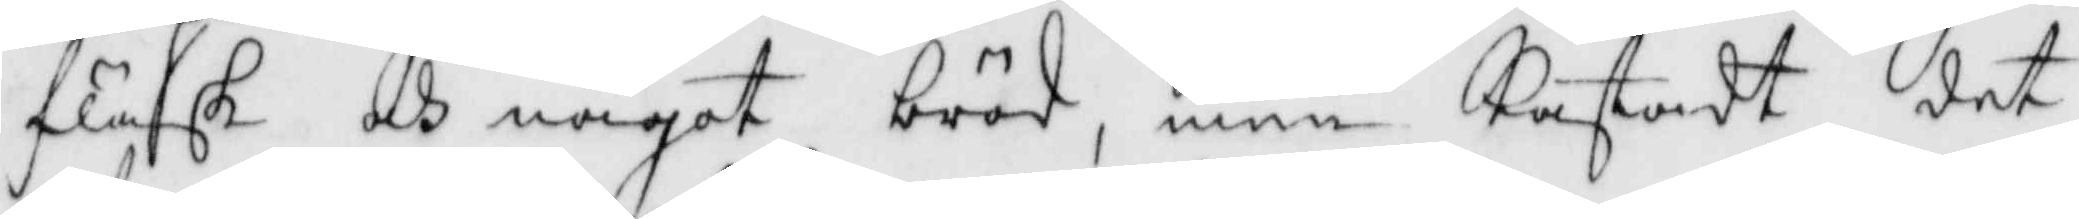fläsk och något bröd, men Kastadt det
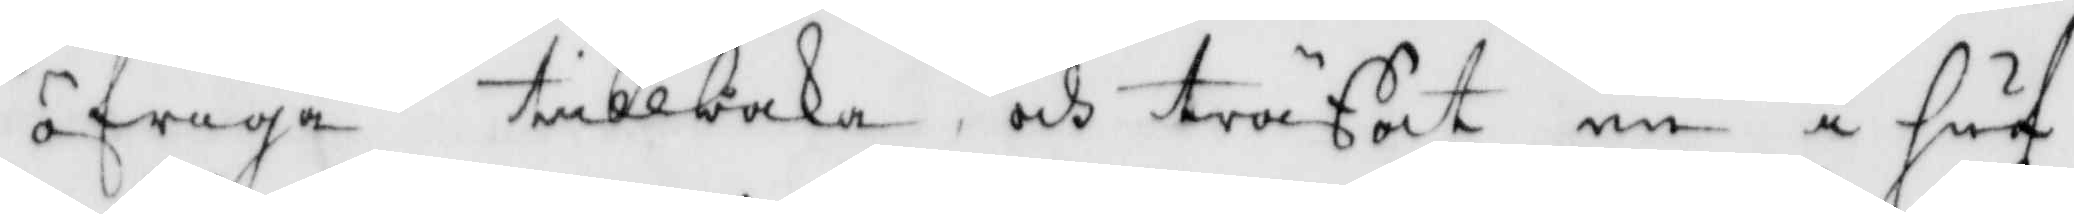öfriga tillbaka och träffat en i huf¬
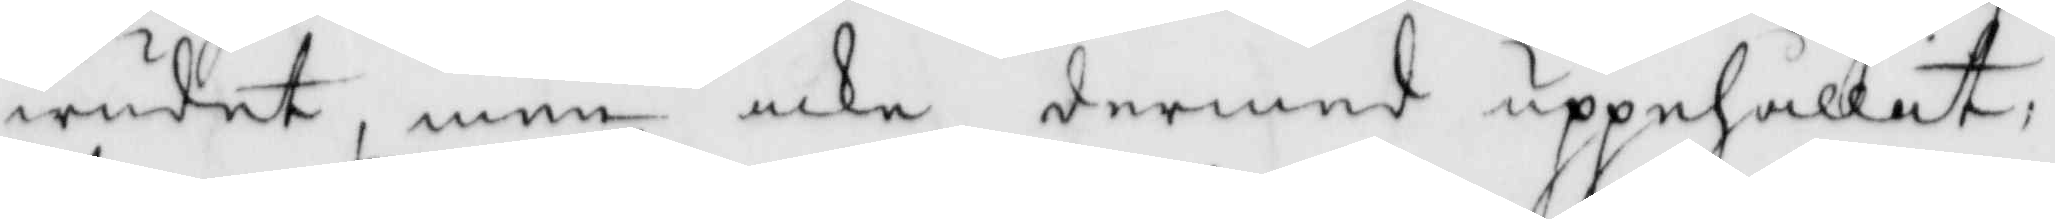wudet, men icke dermed uppehållit;
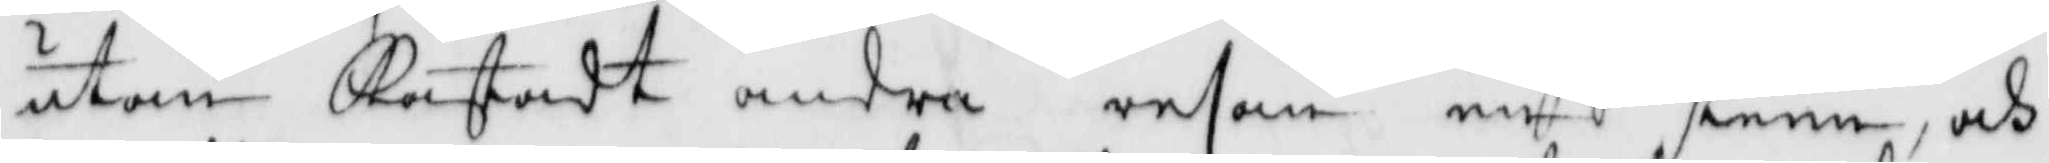utan Kastadt andra resan en sten, och
